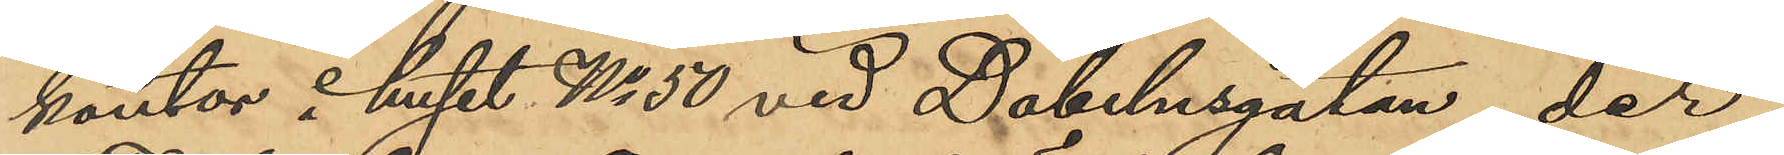kontor i huset No 50 vid Döbelnsgatan, der
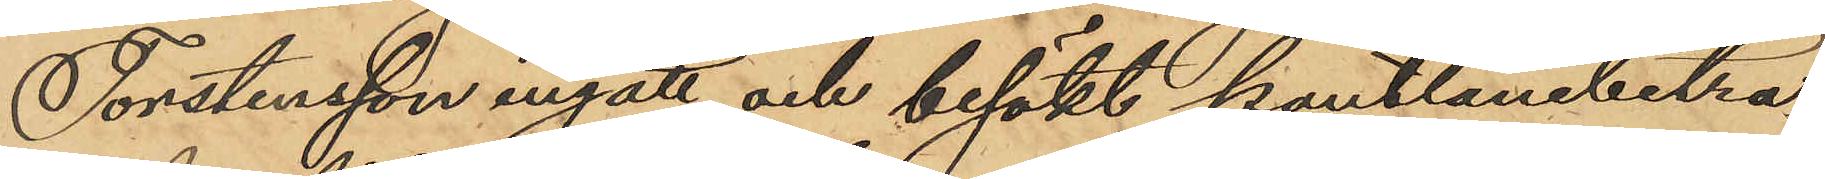Torstensson ingått och besökt pantlånebiträ¬
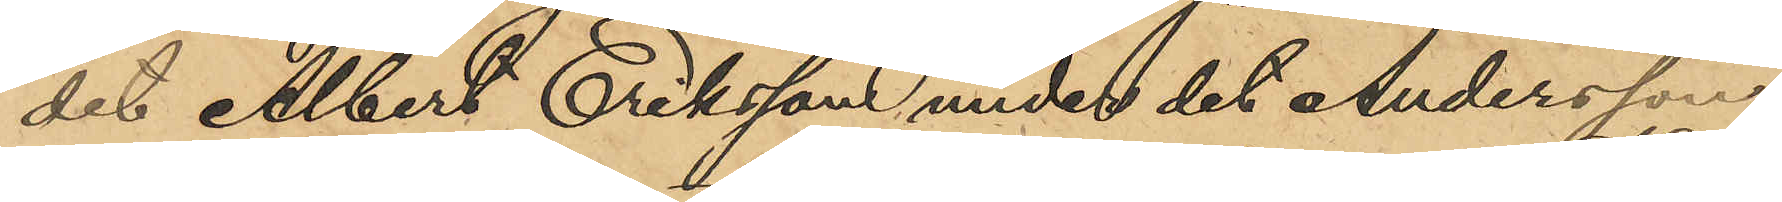det Albert Eriksson under det Andersson
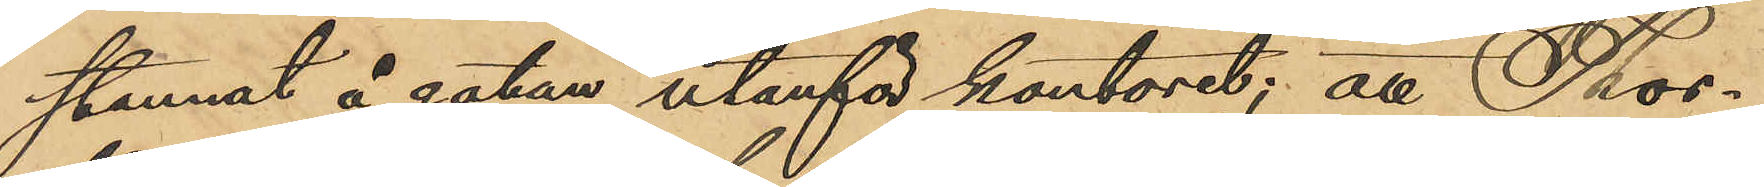stannat å gatan utanför kontoret; att Thor¬
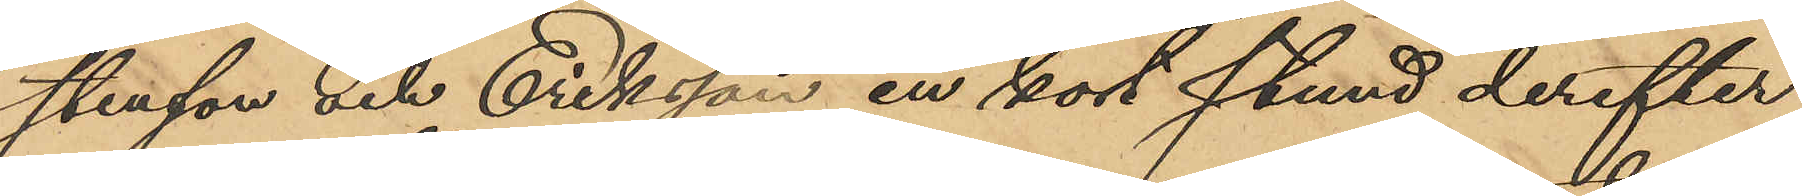stenson och Eriksson en kort stund derefter,
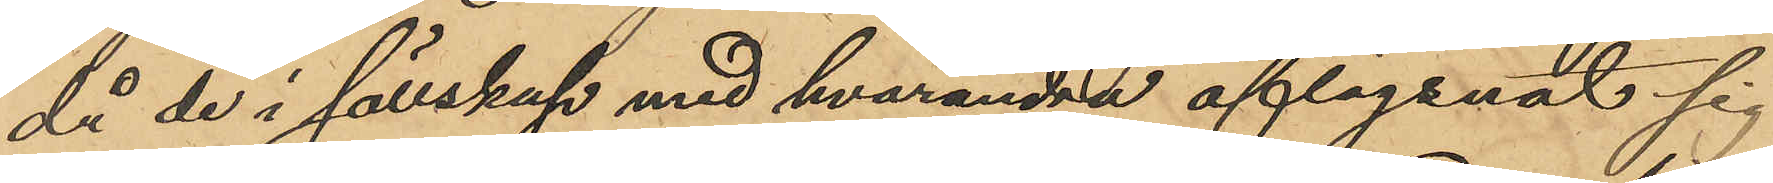då de i sällskap med hvarandra aflägsnat sig
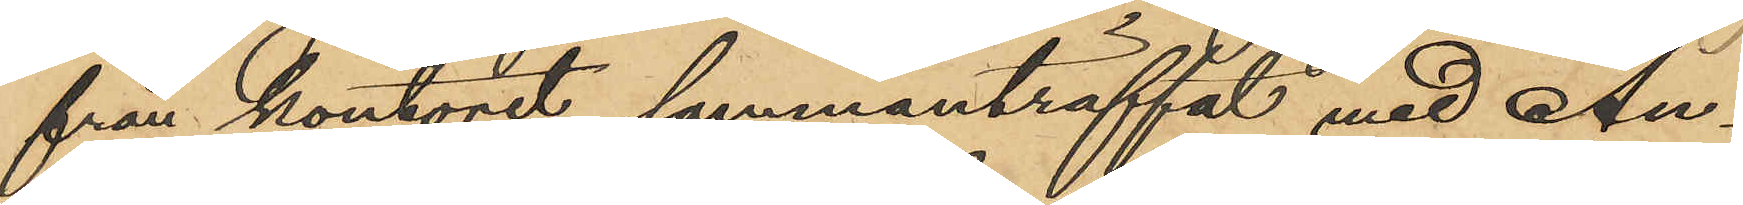från kontoret, sammanträffat med An¬
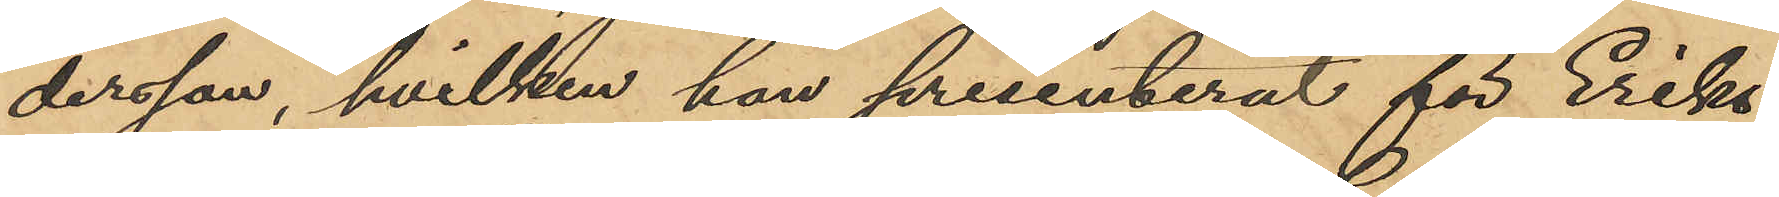dersson, hvilken han presenterat för Eriks¬
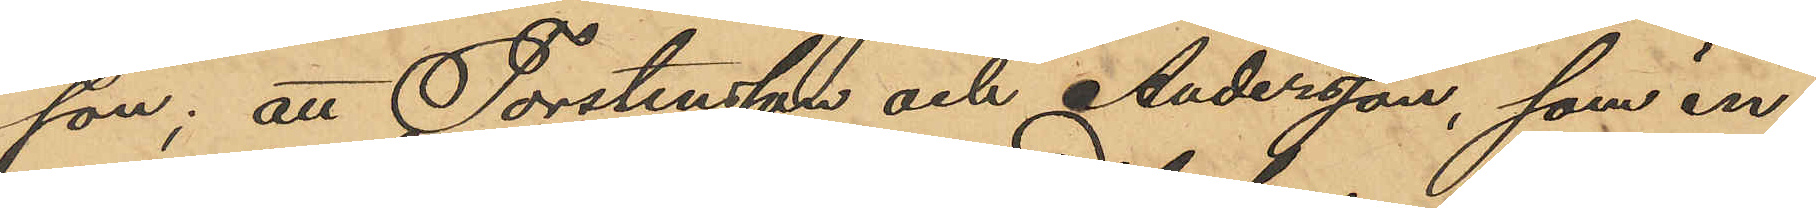son; att Torstensson och Andersson, som in¬
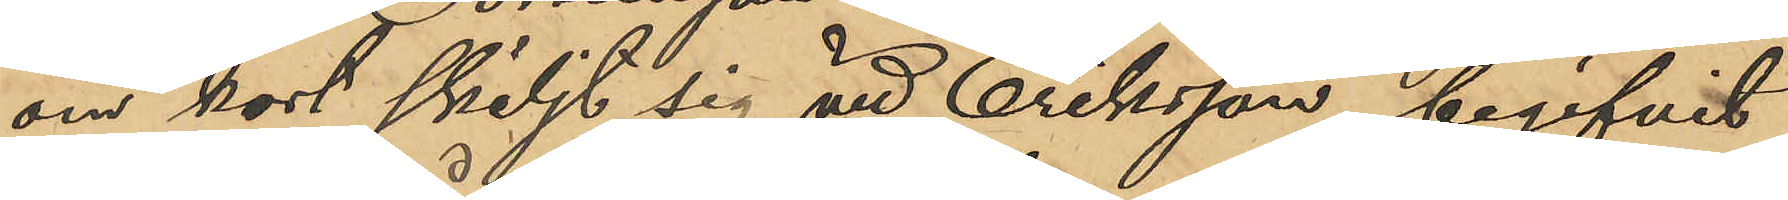om kort skiljt sig vid Eriksson, begifvit
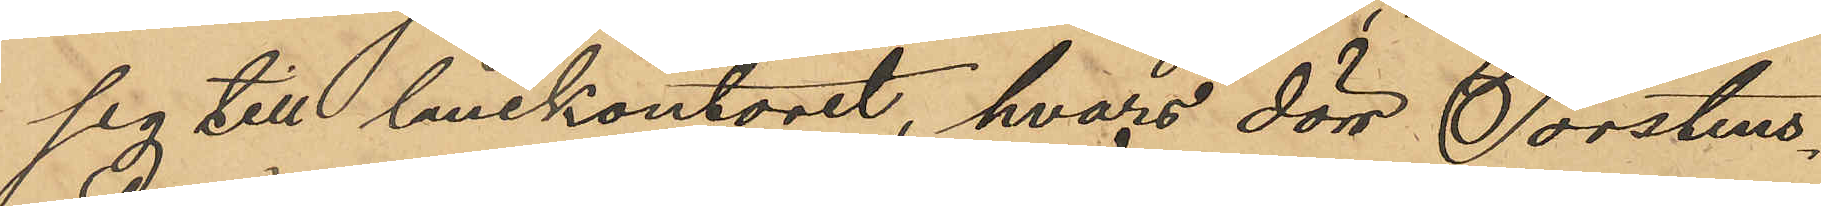sig till lånekontoret, hvars dörr Torstens¬
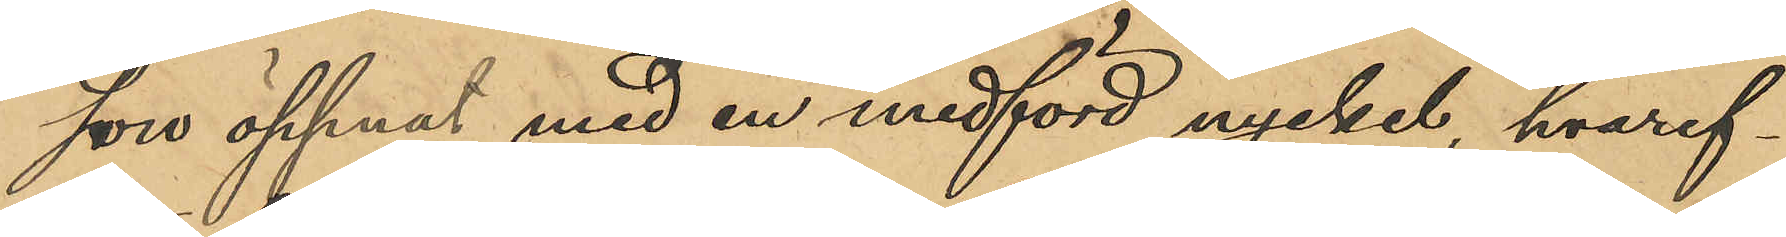son öppnat med en medförd nyckel, hvaref¬
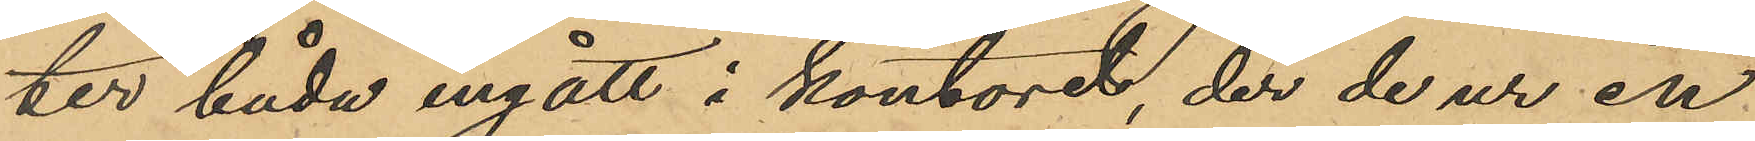ter båda ingått i kontoret, der de ur en
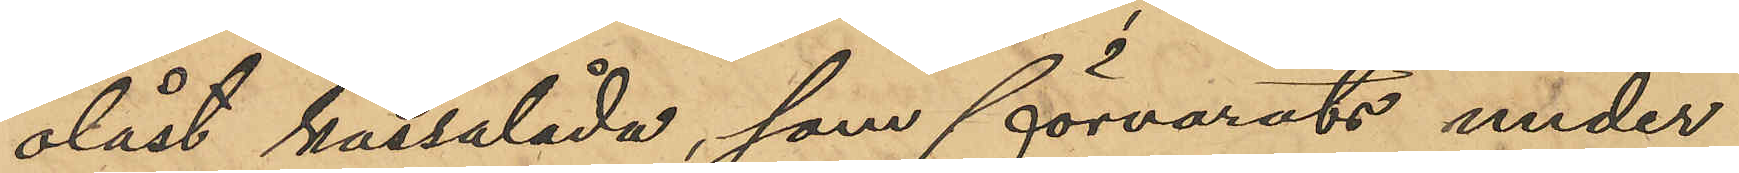olåst kassalåda, som förvarats under
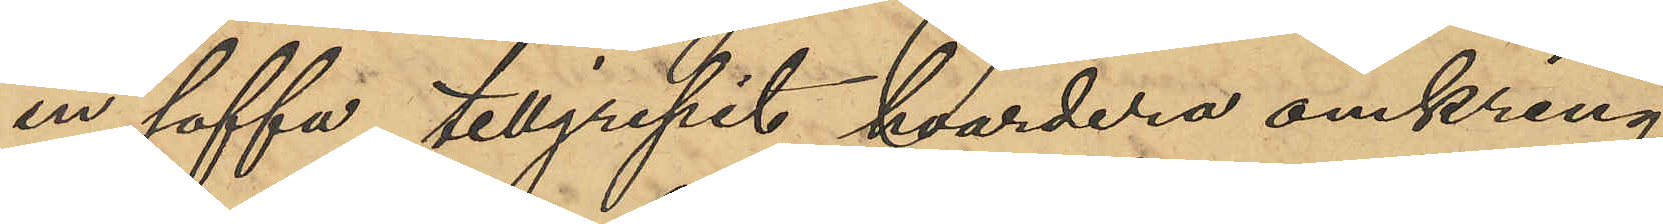en soffa, tillgripit hvardera omkring
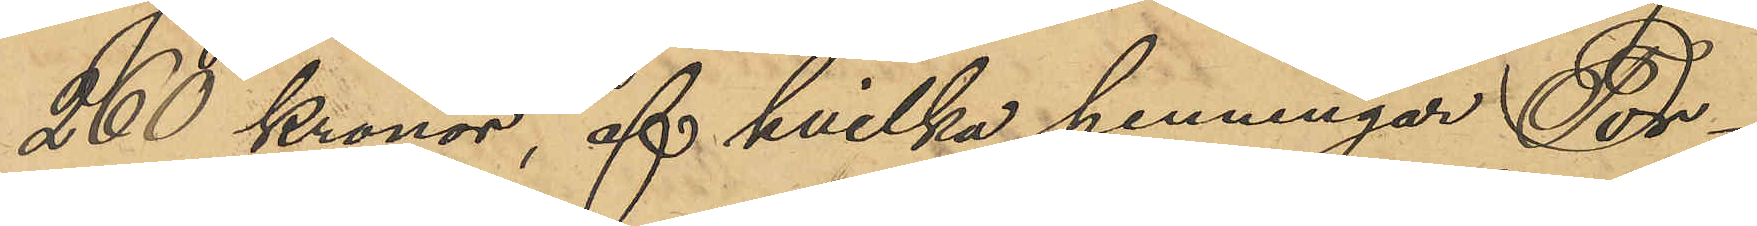260 Kronor, af hvilka penningar Tor¬
